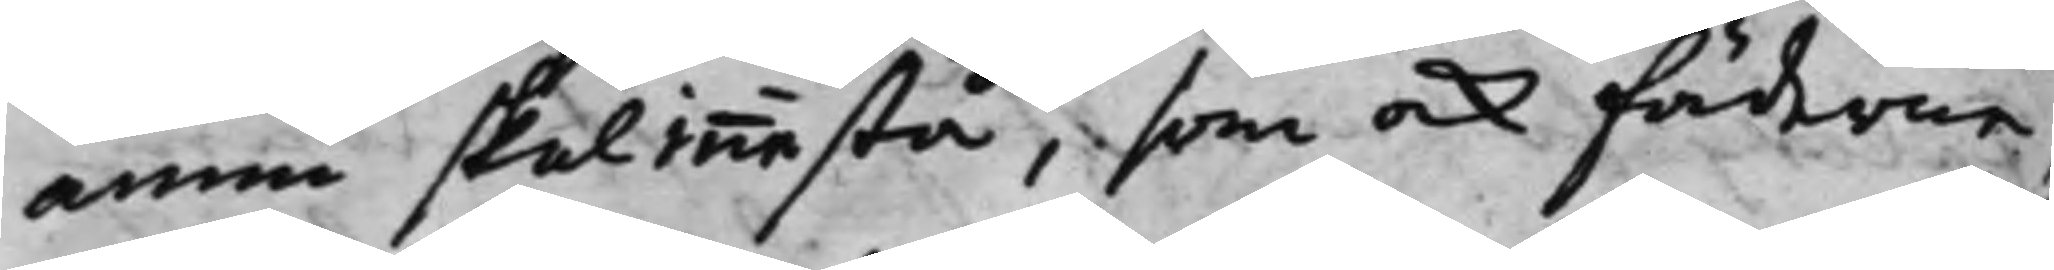ännu skal innestå, som ock Fäderne,
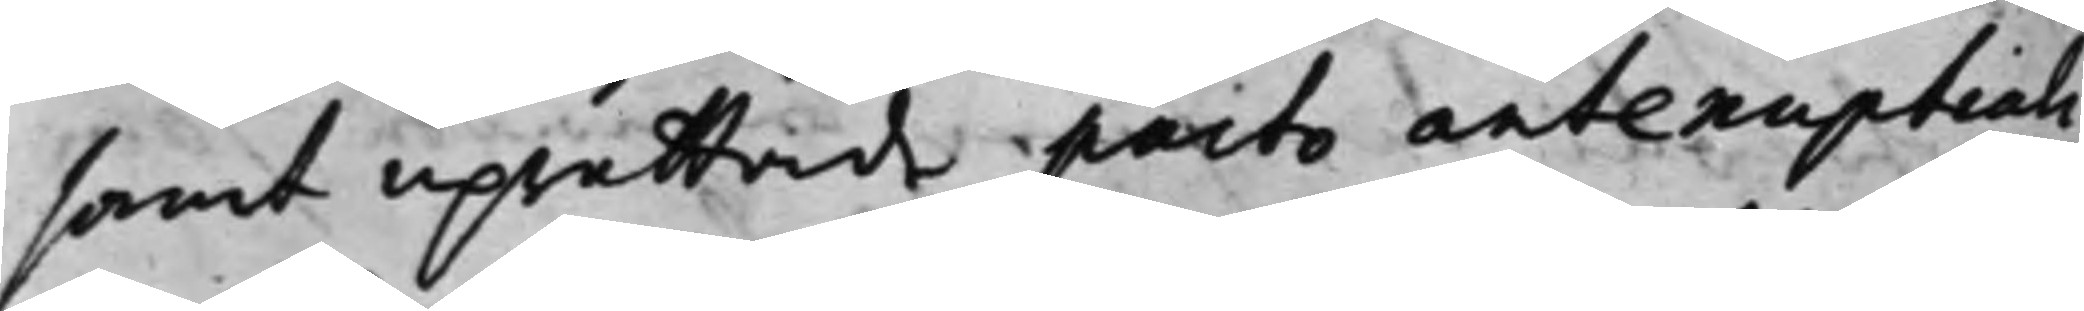samt uprättade pacto antenuptiali,
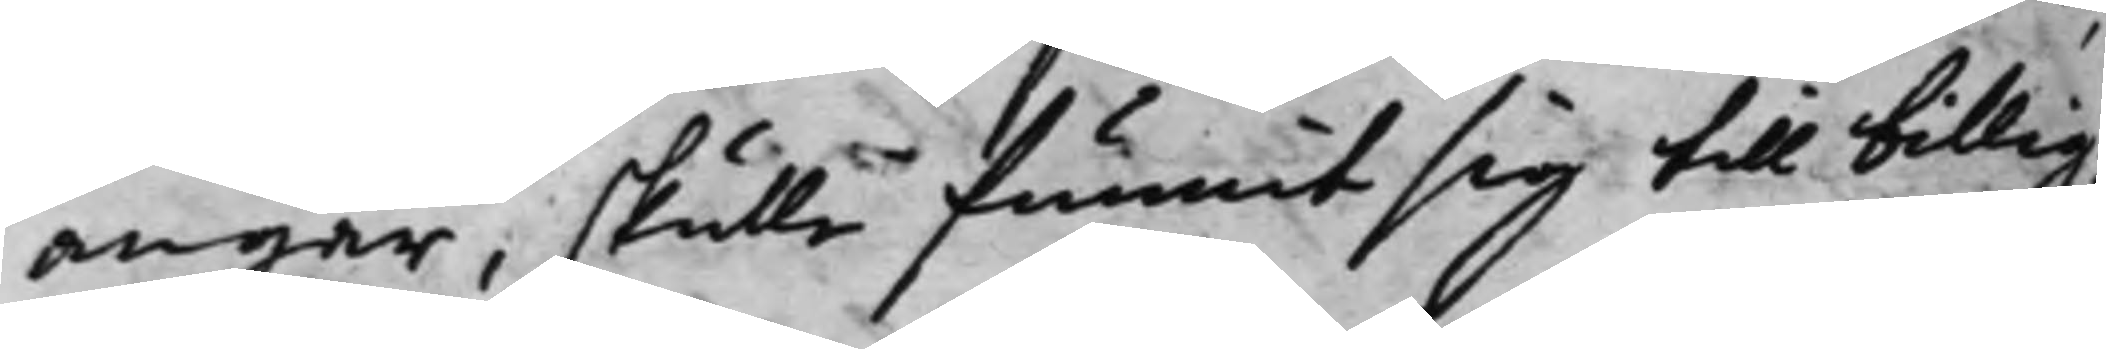angår, skulle funnit sig till billig¬
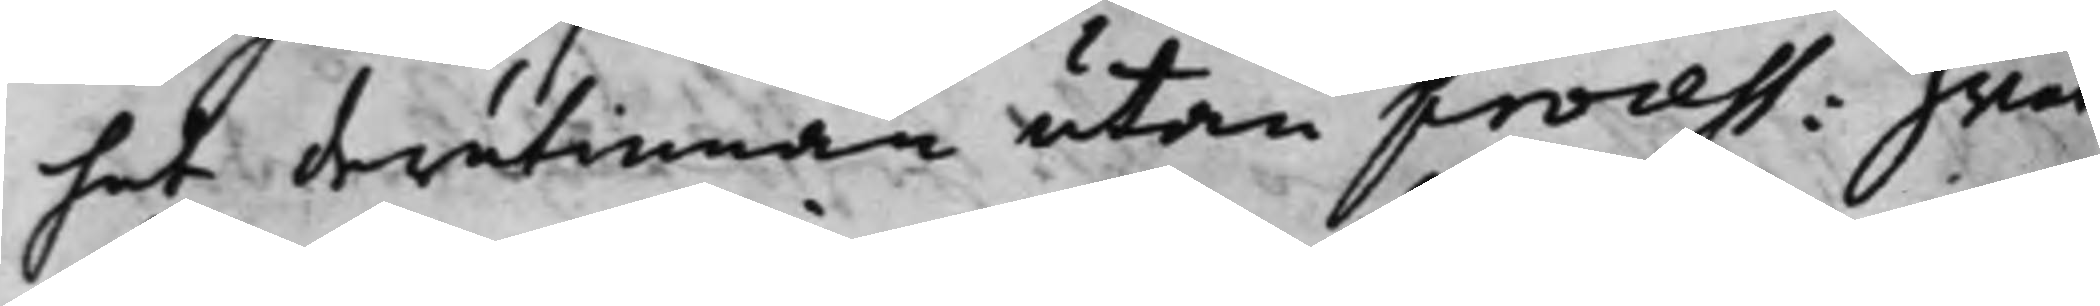het derutinnan utan process: hwar¬
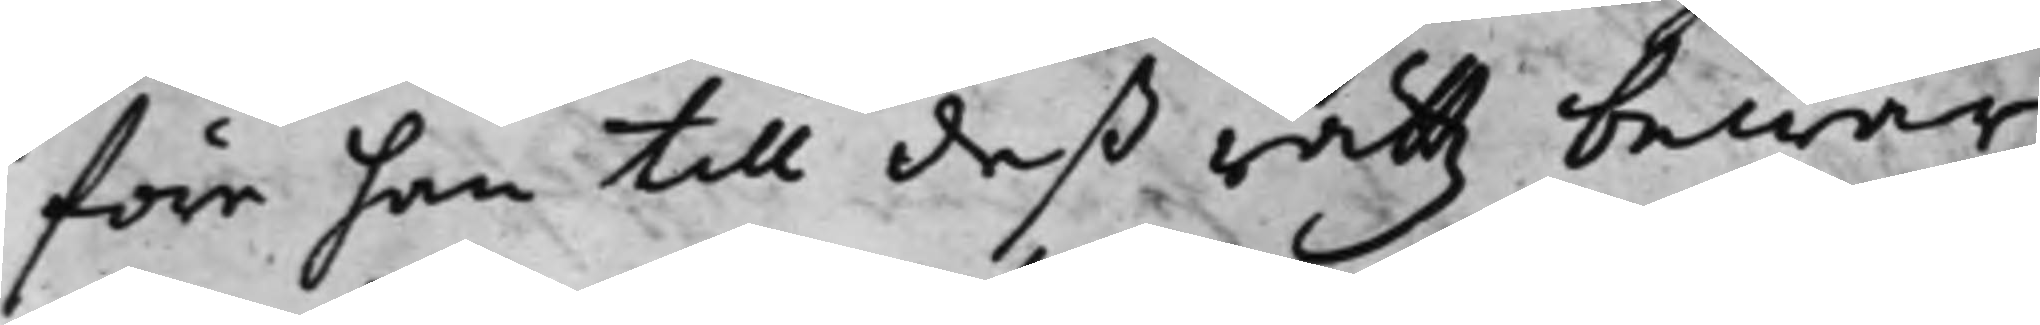före han till deß rättz bewar
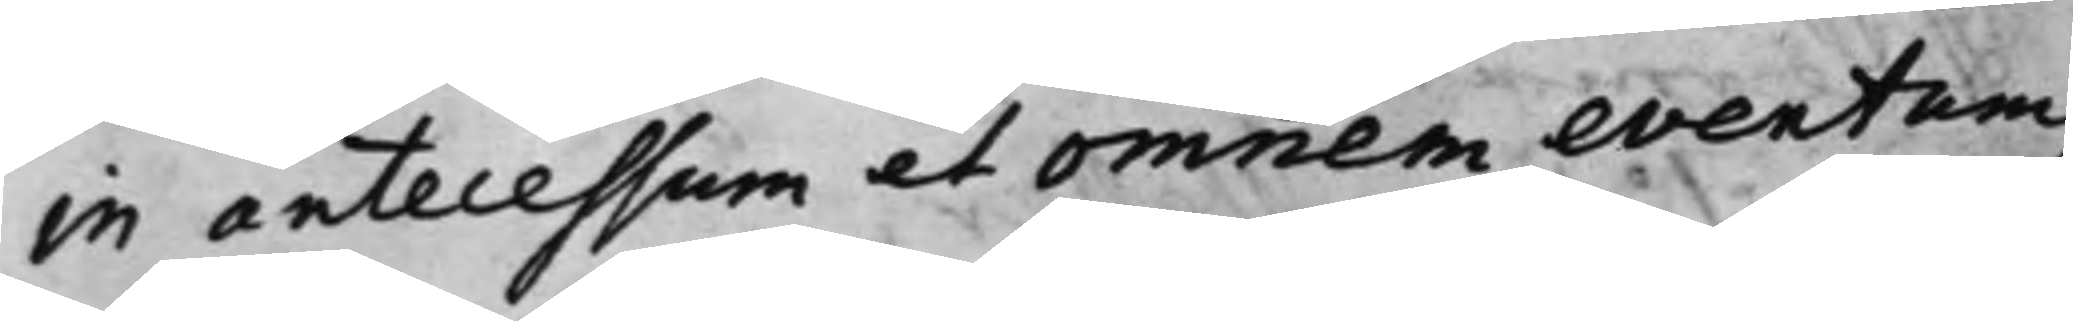in antecessum et omnem eventum
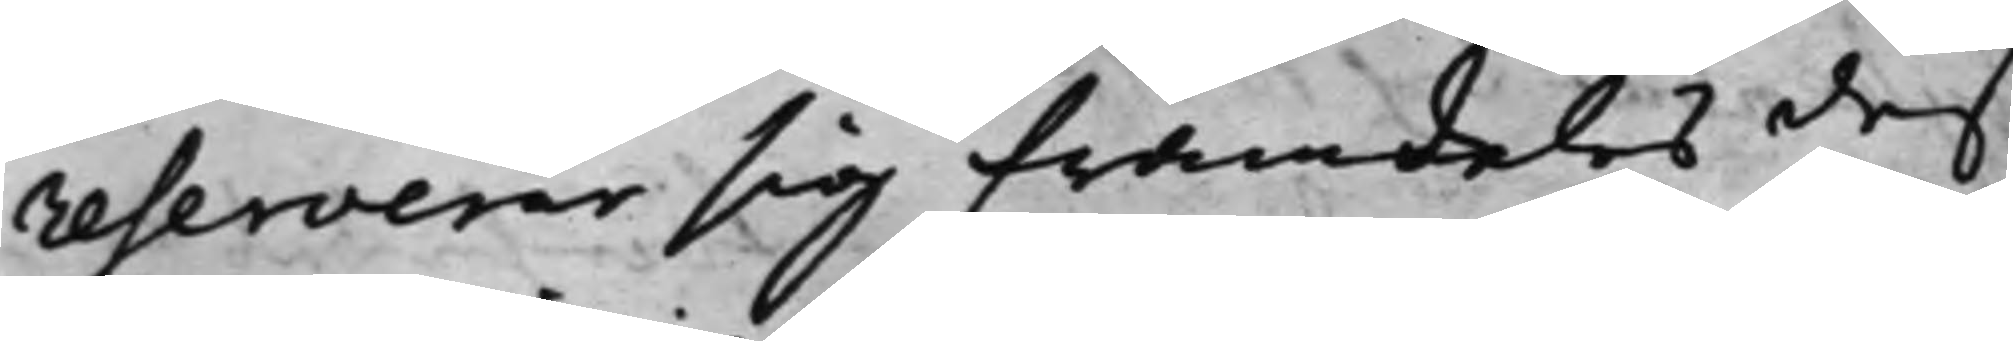reserverar sig framdeles deß
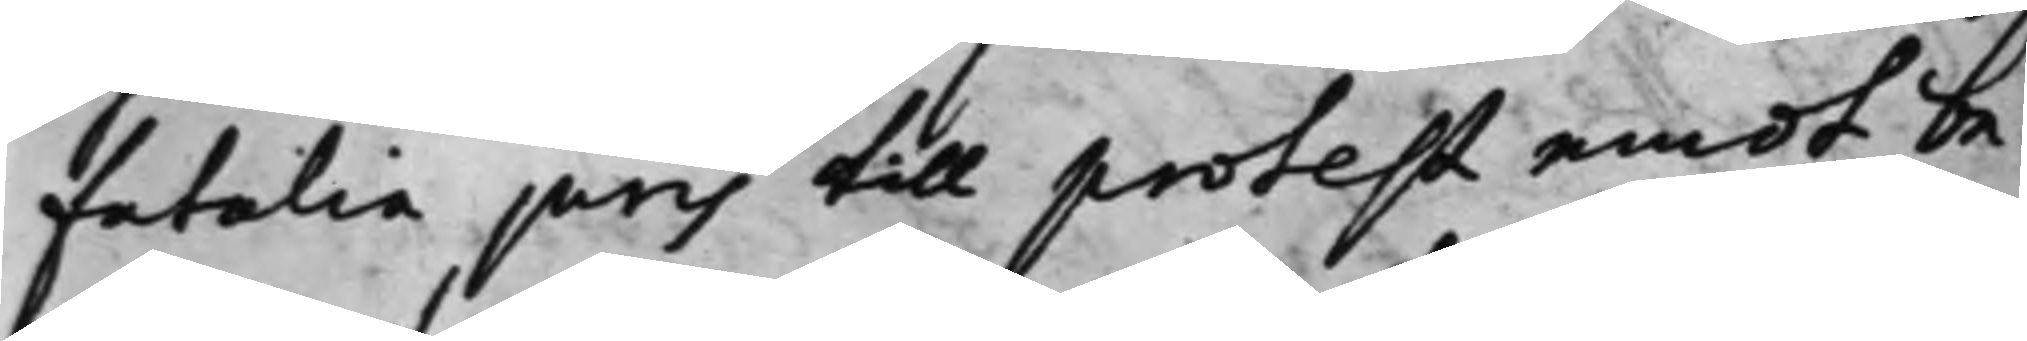fatalia juris till protest emot be¬
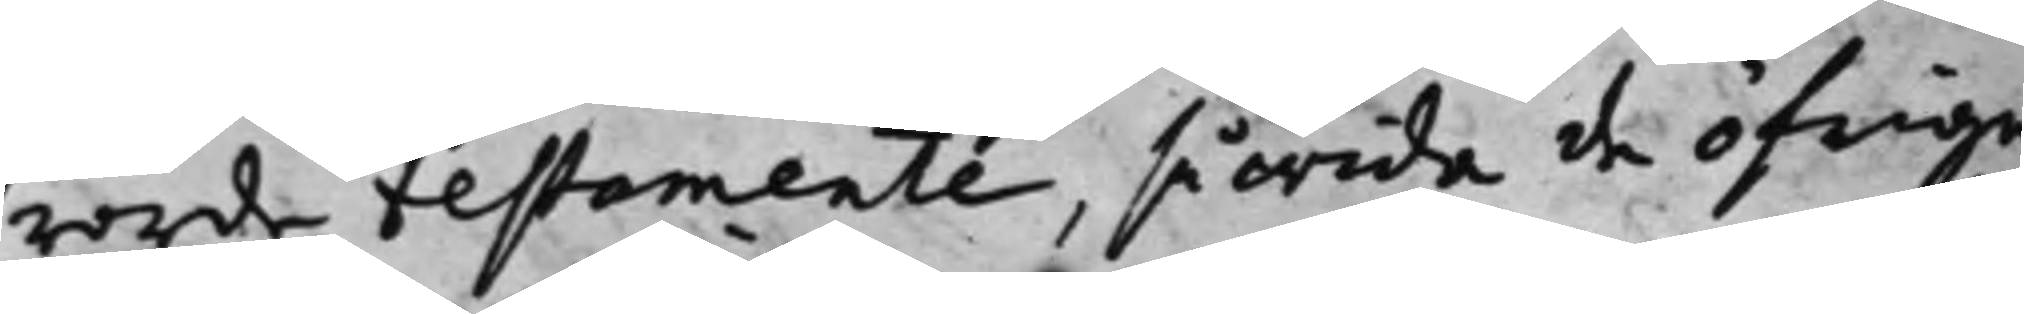rörde testamente, så wida de öfrige
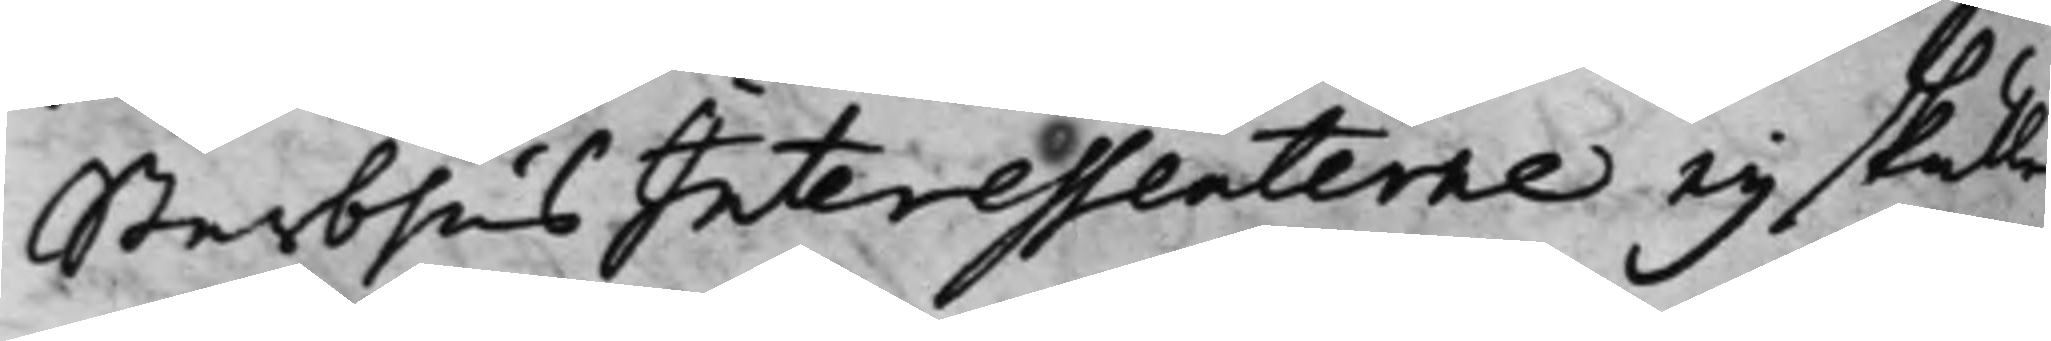Sterbhus Interessenterne ey skulle
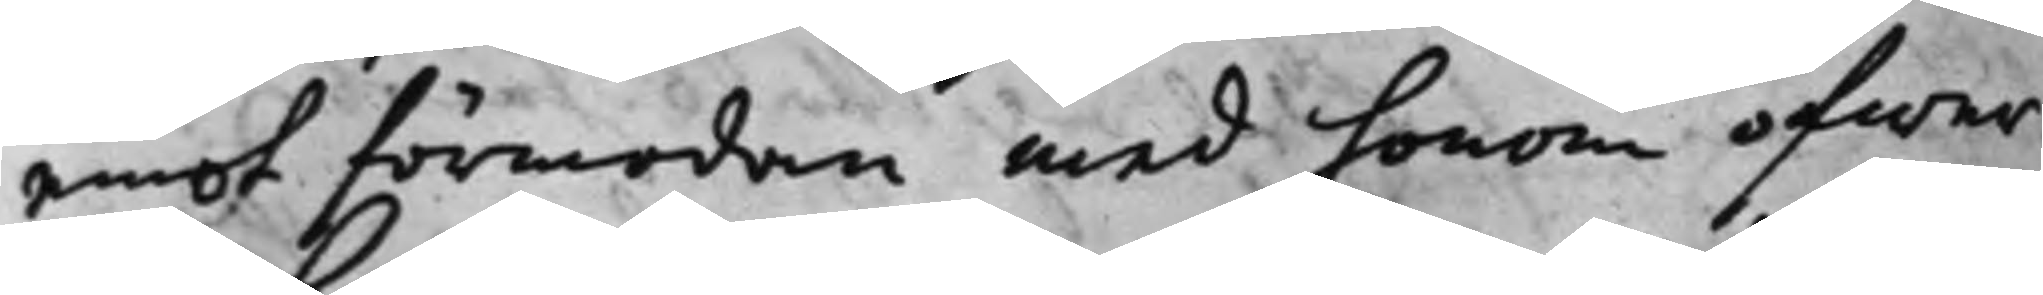emot förmodan med honom ofwer¬
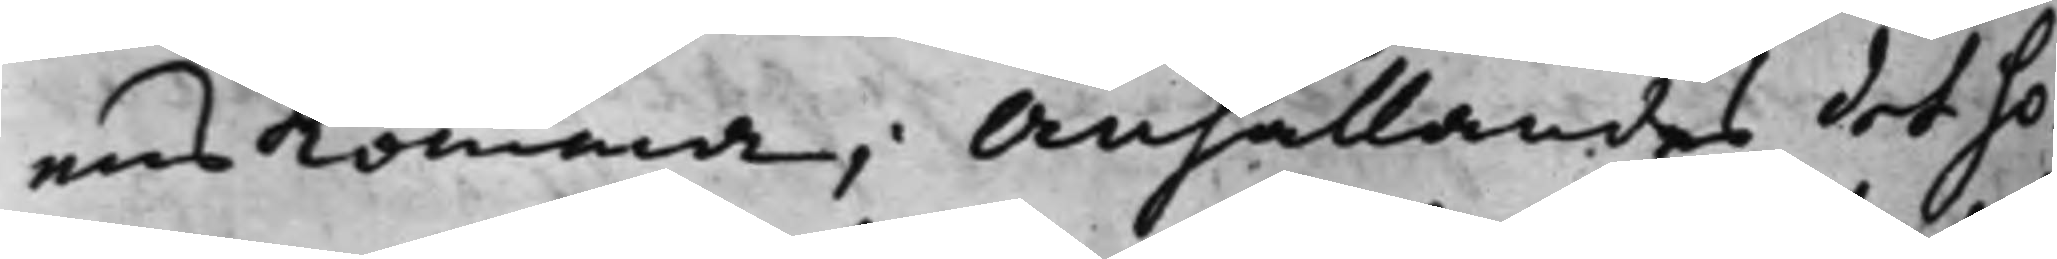ens komma, anhållandes det ho¬
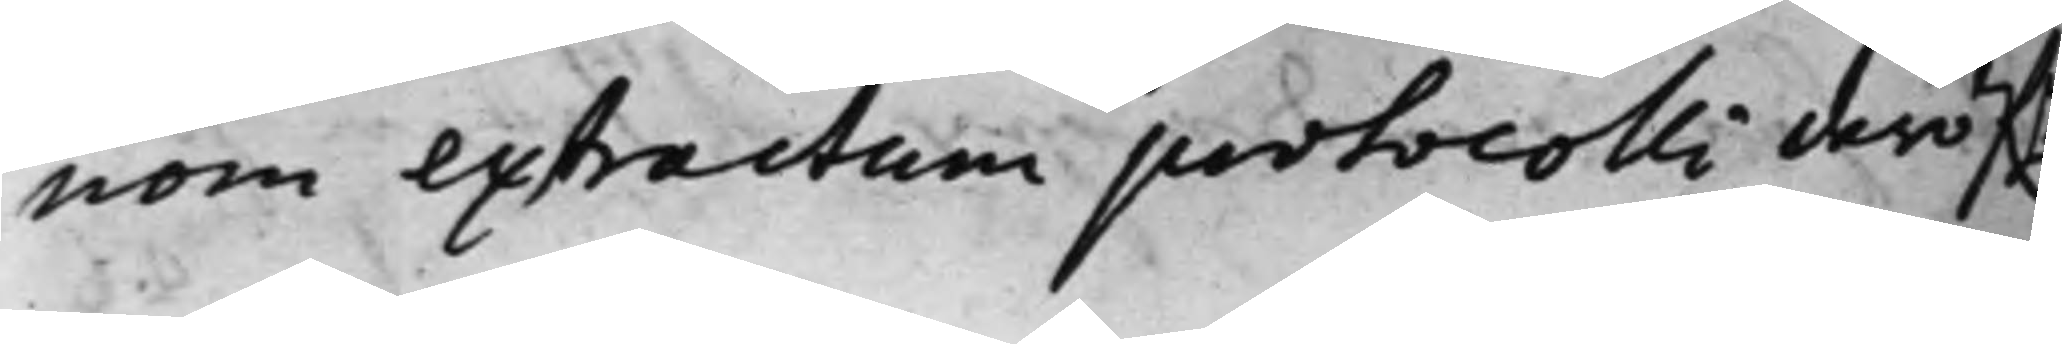nom extractum protocolli deröf.r
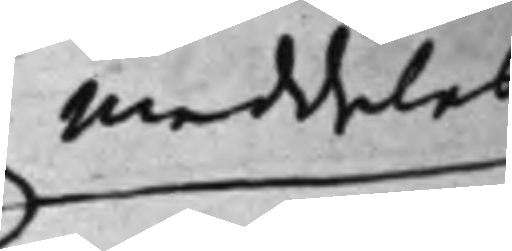meddelas
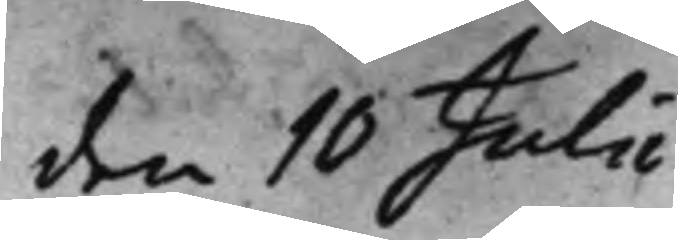den 10 Julii
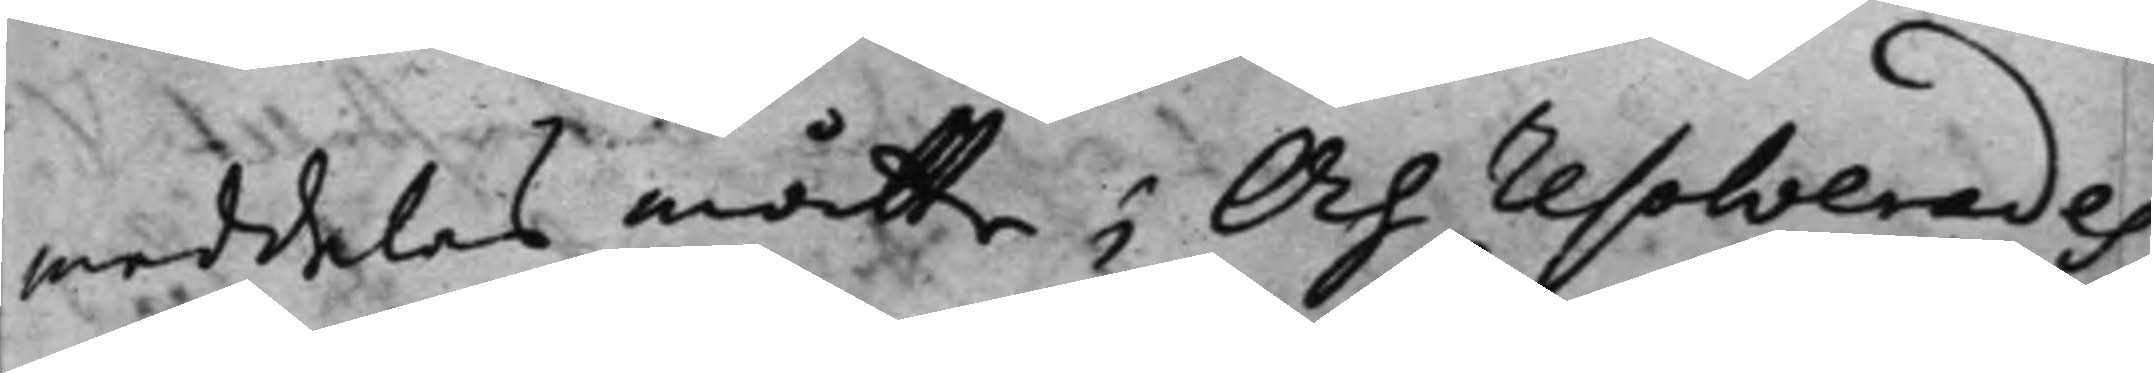meddelas måtte; Och resolverades,
